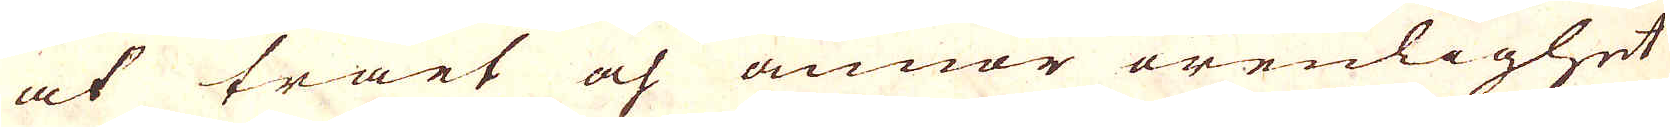at träet och annor orenlighet
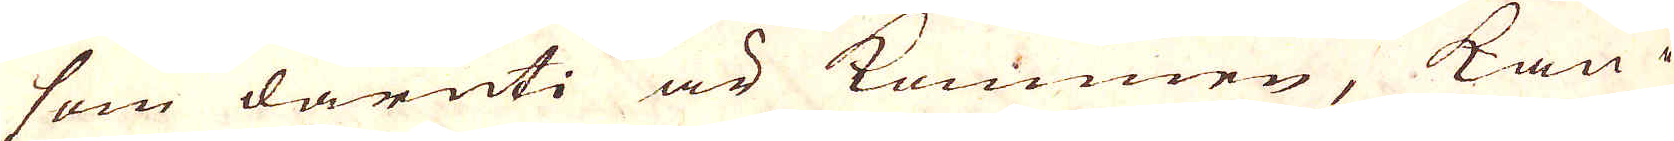som däruti är kommen, kan i
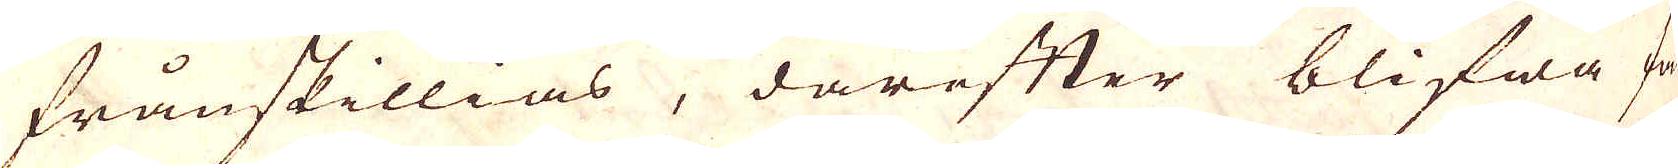frånskillias, därefter blifwa fär-
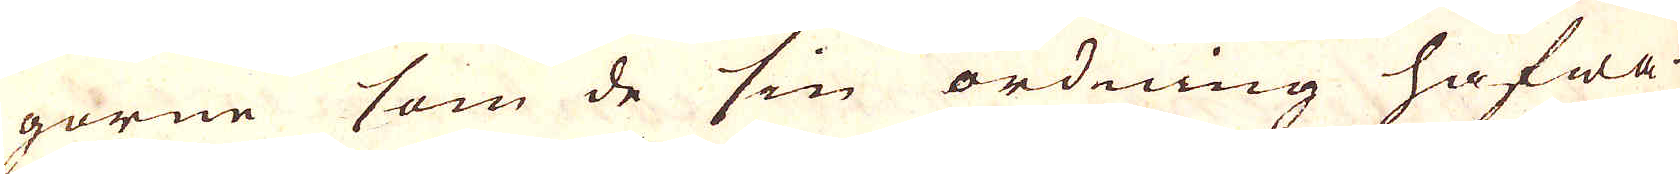gorne som de sin ordning hafwa
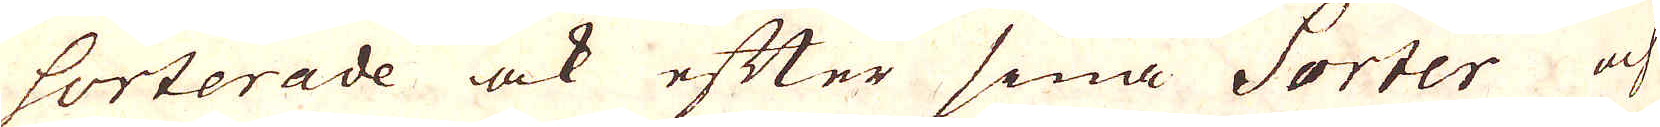sorterade ock efter sina Sorter och
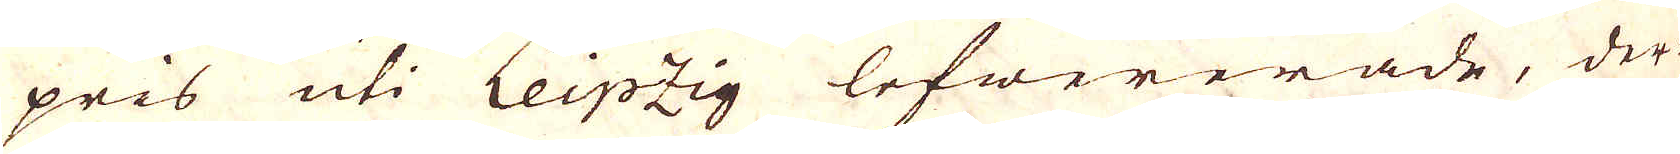pris uti Leipzig lefwererade, der-
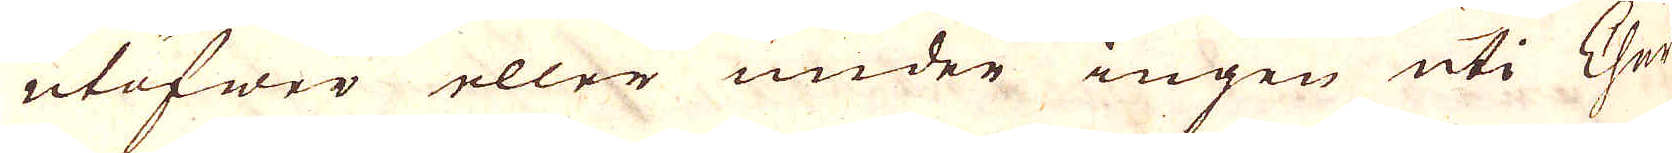utöfwer eller under ingen uti Chur-
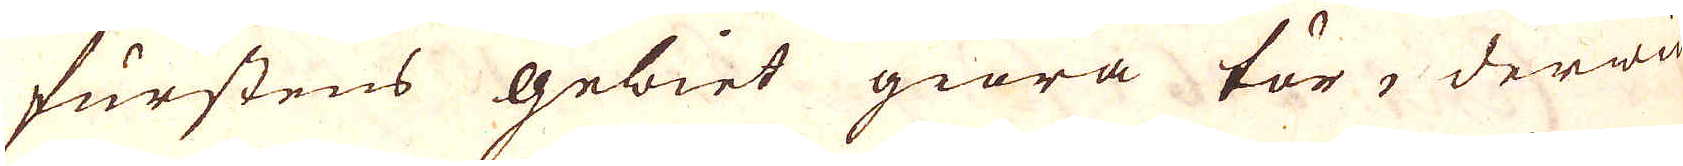furstens gebiet giöra tör, derwid
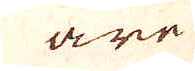äre
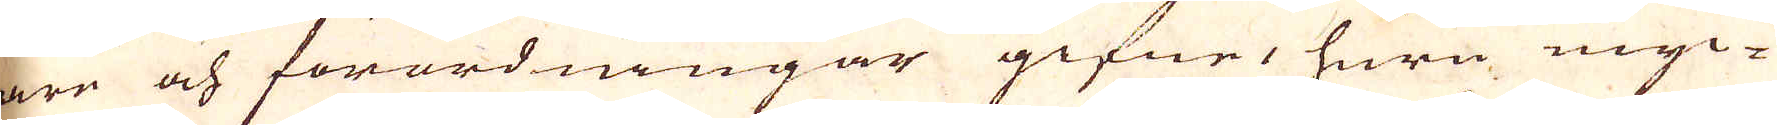äre och förordningar gifne, huru myc-
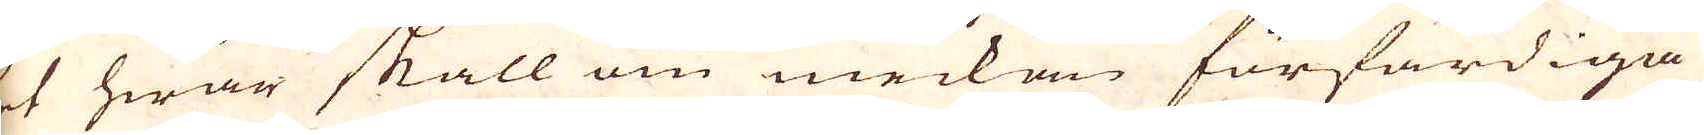ket hwar skall om weckan förfärdiga
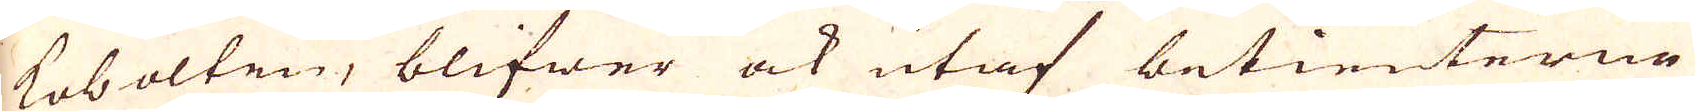i kobolten, blifwer ock utaf betienterna
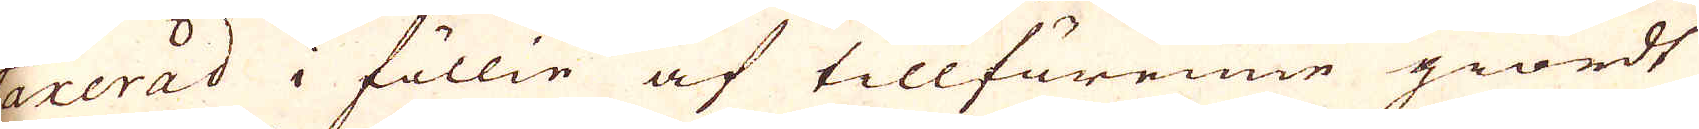taxerad i föllie af tillförenne giordt
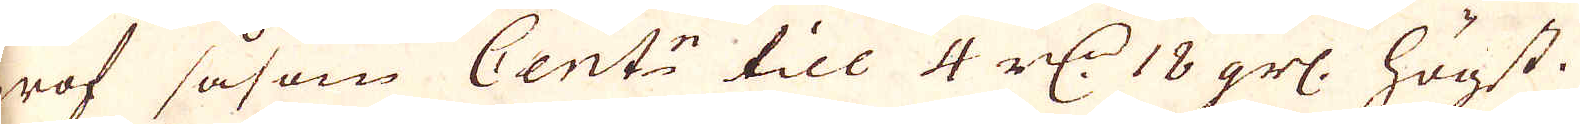prof såsom Cent:r till 4 rd:r 18 grs: högst.
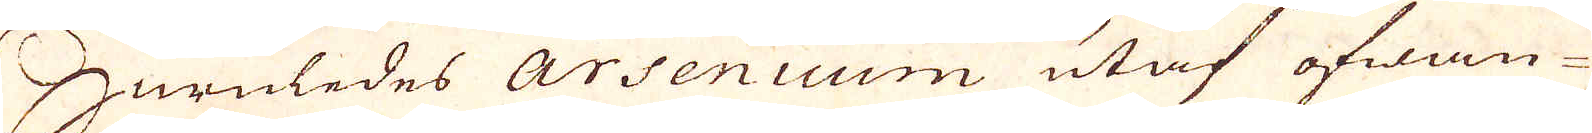Huruledes Arsenicum utaf ofwan-
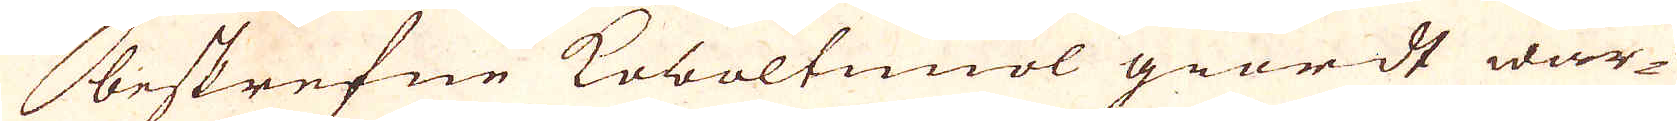beskrefne Koboltmiöl giordt war-
